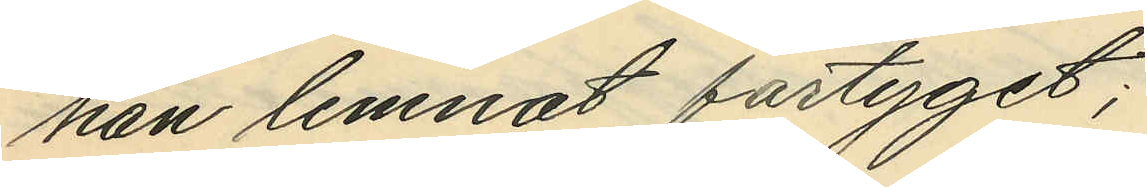han lemnat fartyget;
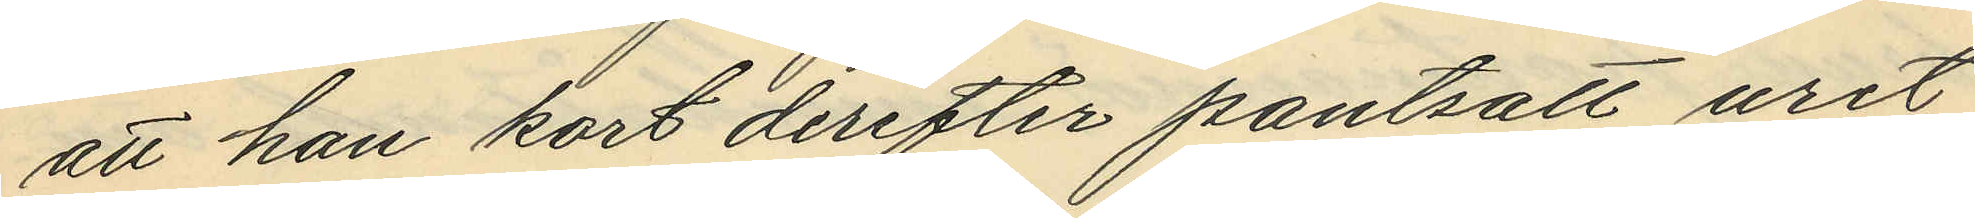att han kort derefter pantsatt uret
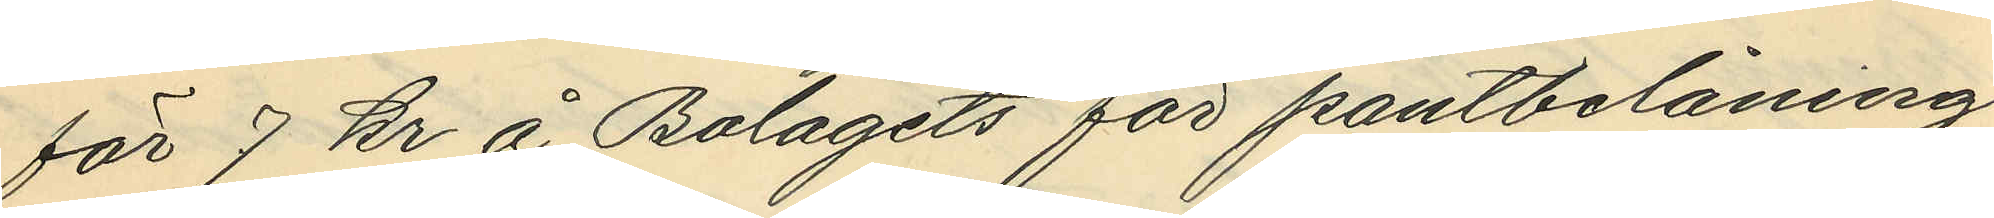för 7 kr å Bolagets för pantbelåning
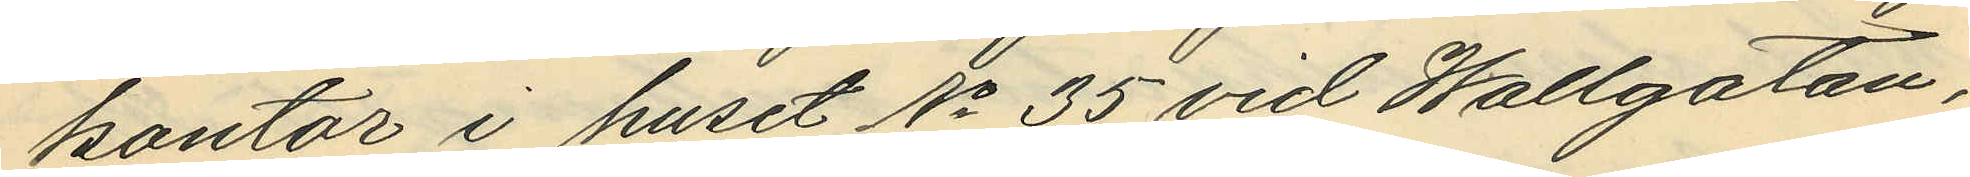kontor i huset No 35 vid Wallgatan,
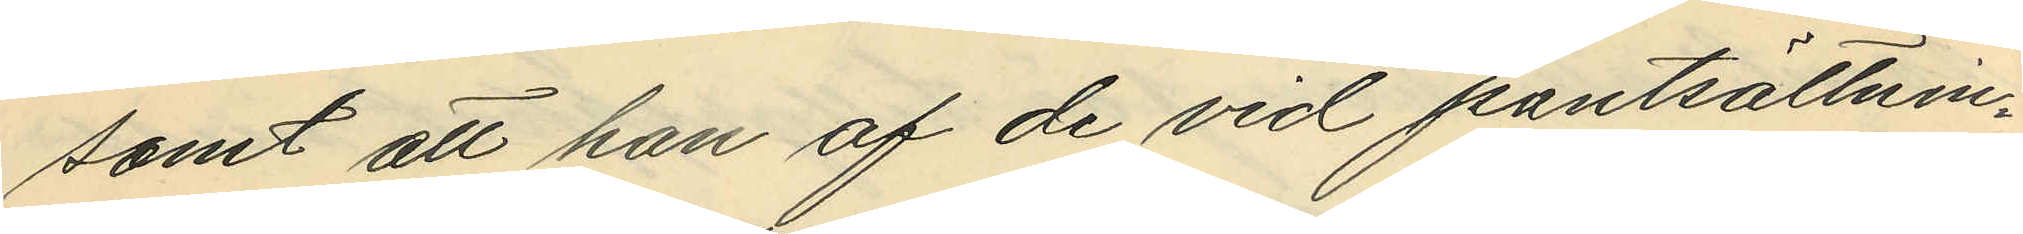samt att han af de vid pantsättnin¬
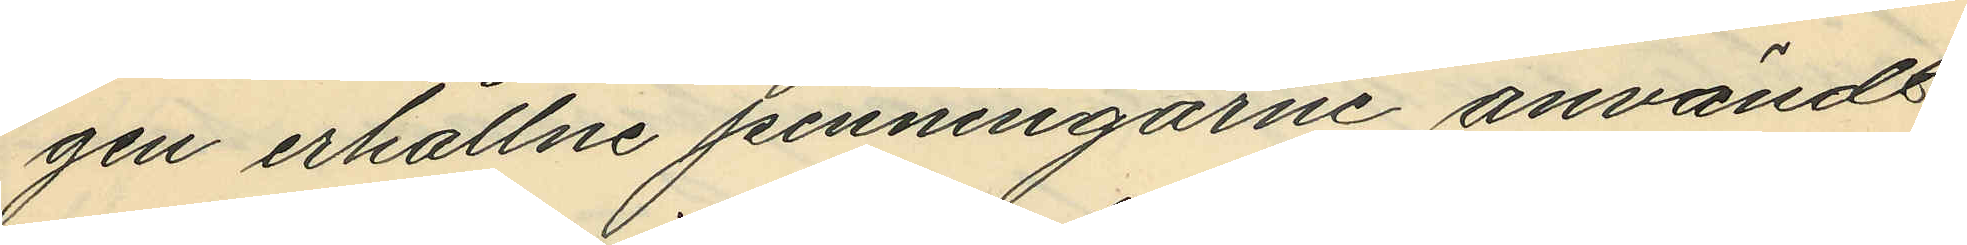gen erhållne penningarne användt
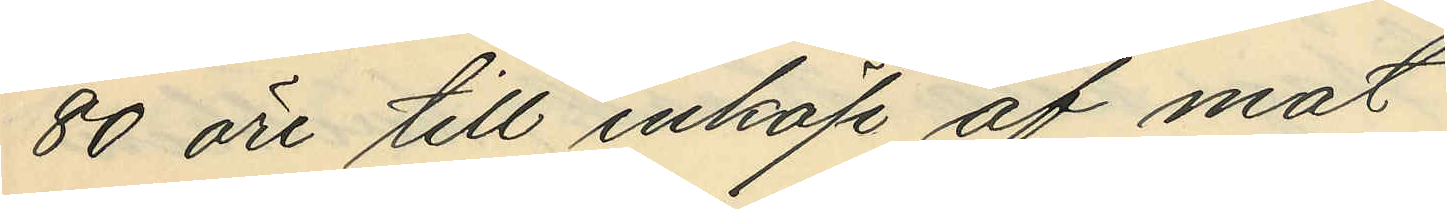80 öre till inköp af mat
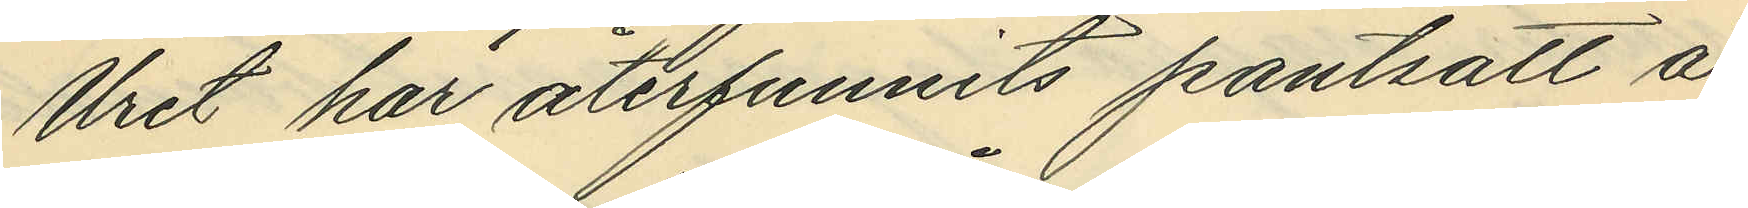Uret har återfunnits pantsatt å
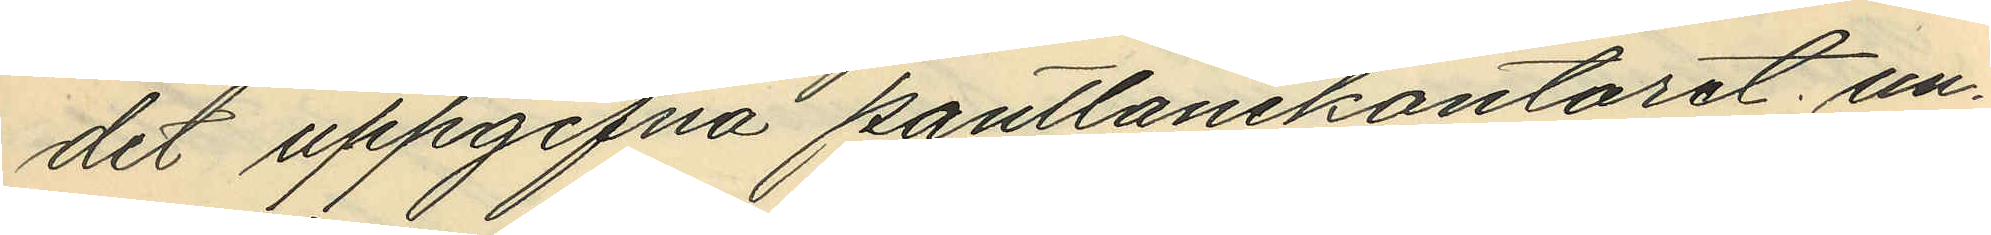det uppgifna pantlånekontoret, un¬
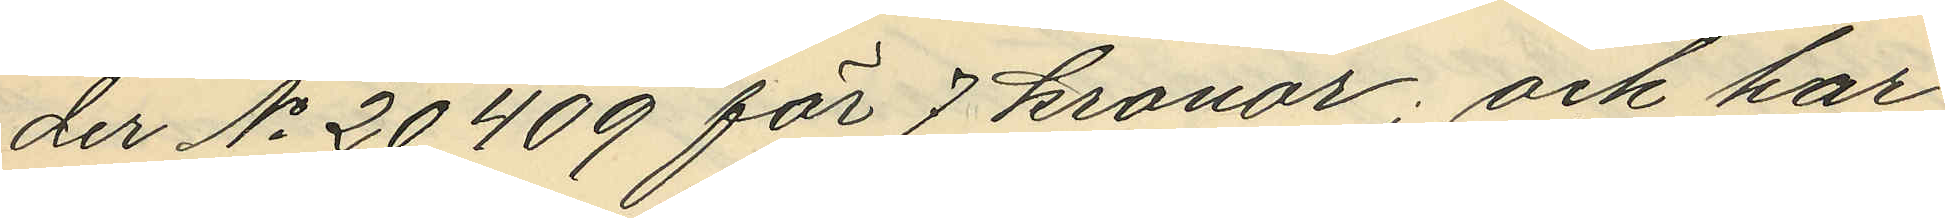der No 20409 för 7 kronor; och har
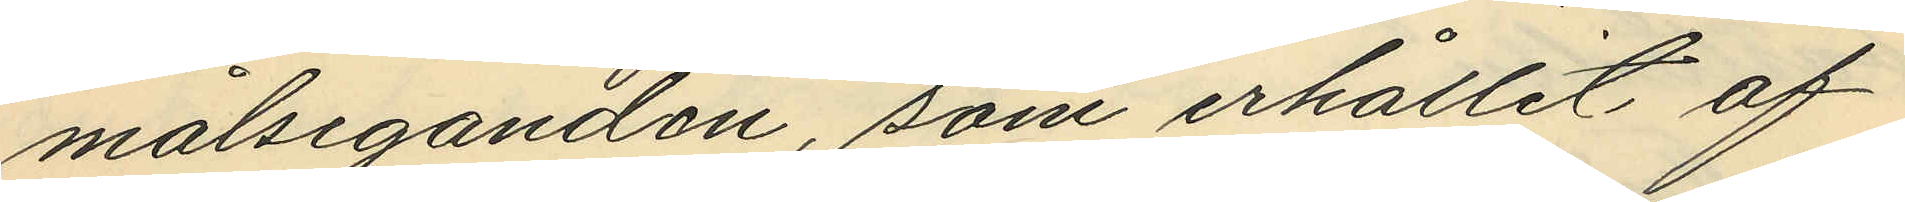målseganden, som erhållit af
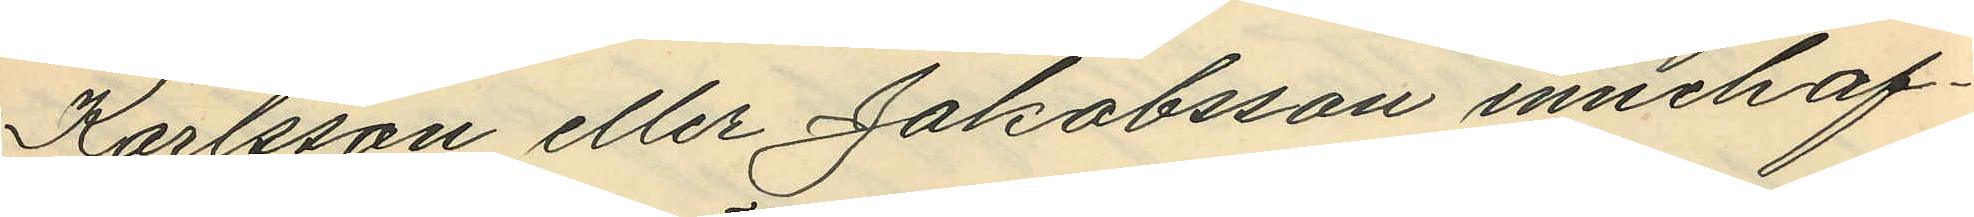Karlsson eller Jakobsson innehaf¬
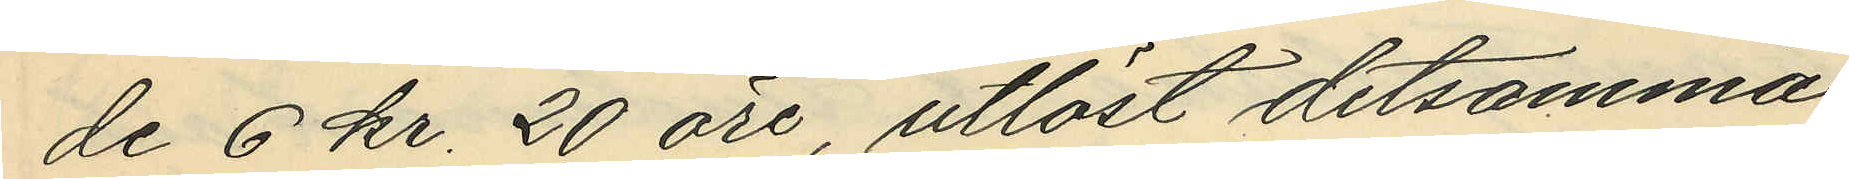de 6 kr. 20 öre, utlöst detsamma.
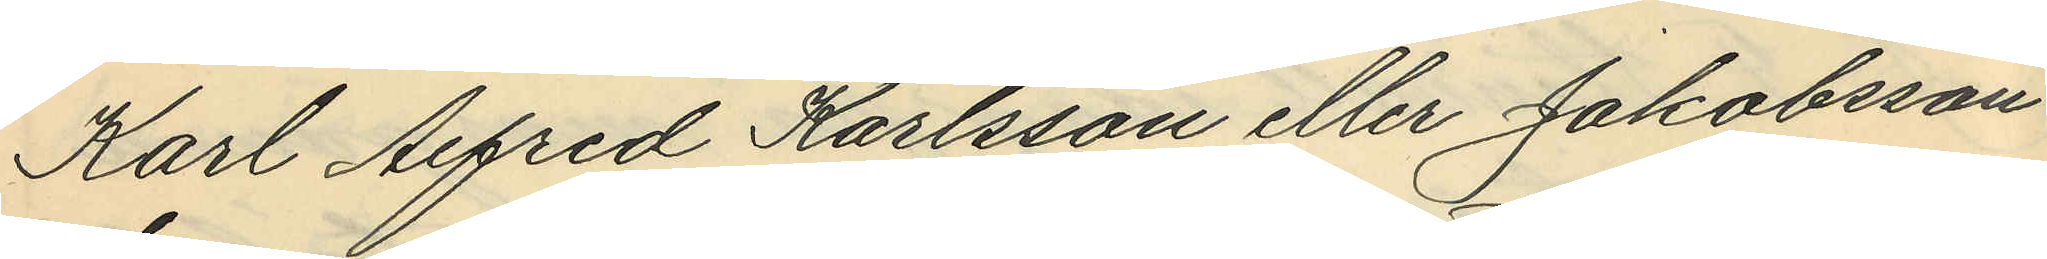Karl Alfred Karlsson eller Jakobsson
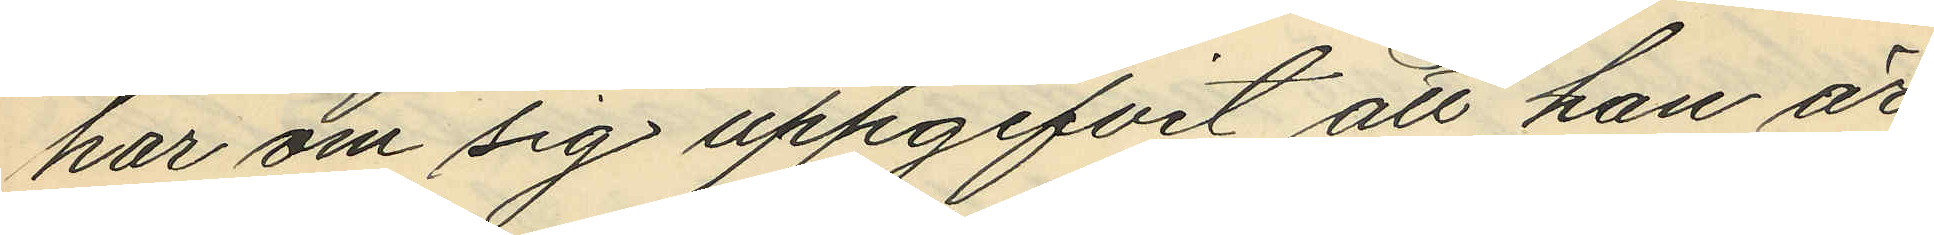har om sig uppgifvit att han är
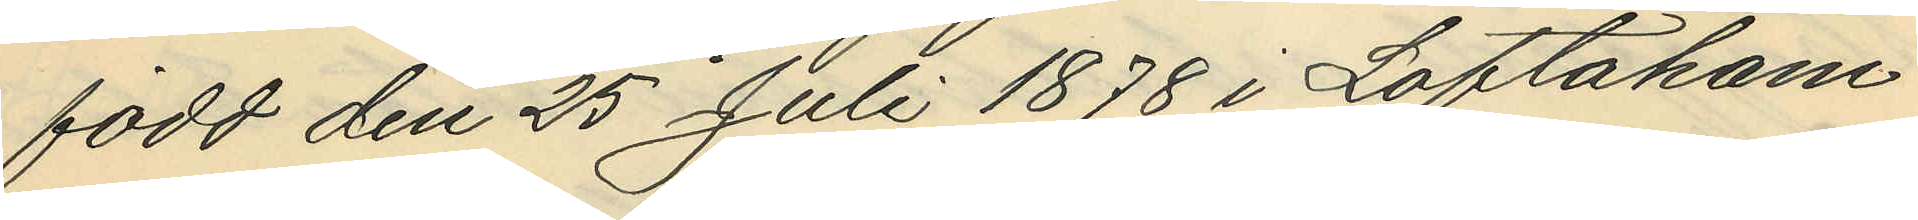född den 25 Juli 1878 i Loftaham¬
